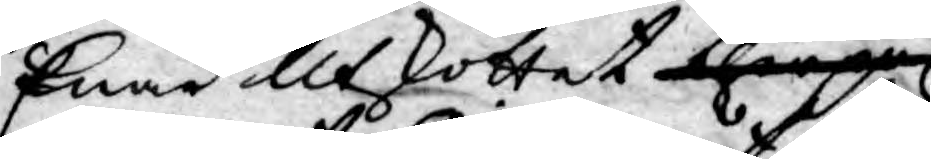Enär Utskottet therpå
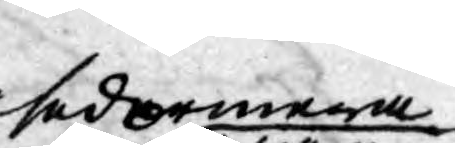sedermera
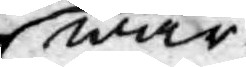war
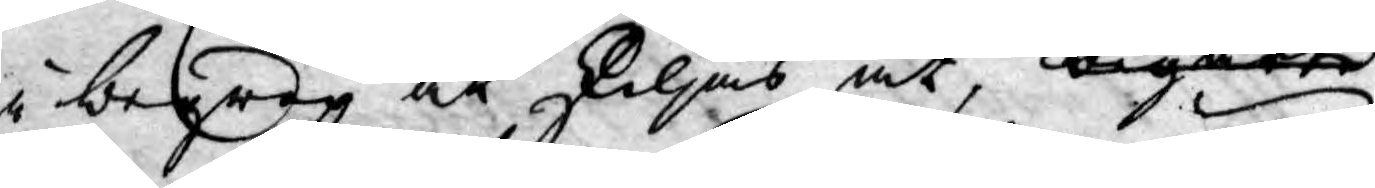i begrep at skiljas åt, begärte
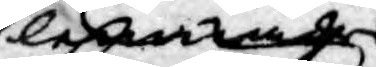lemnade
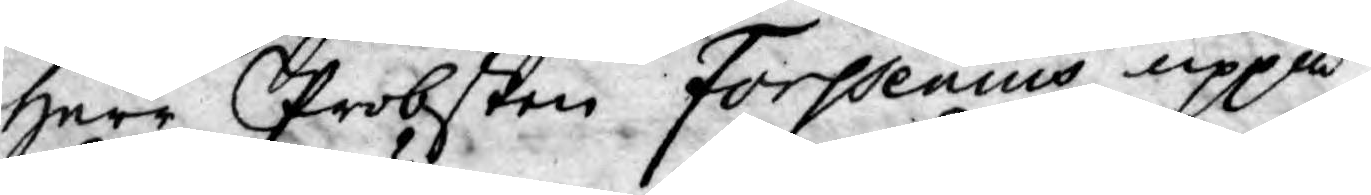Herr Probsten Forssenius uppå
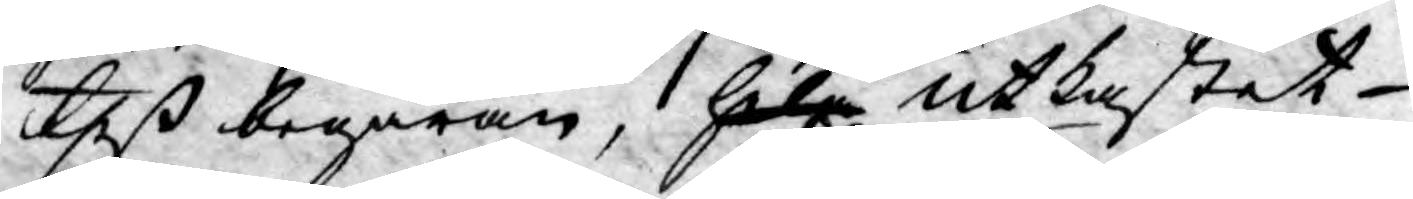theß begäran, hela Utkastet
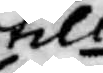till
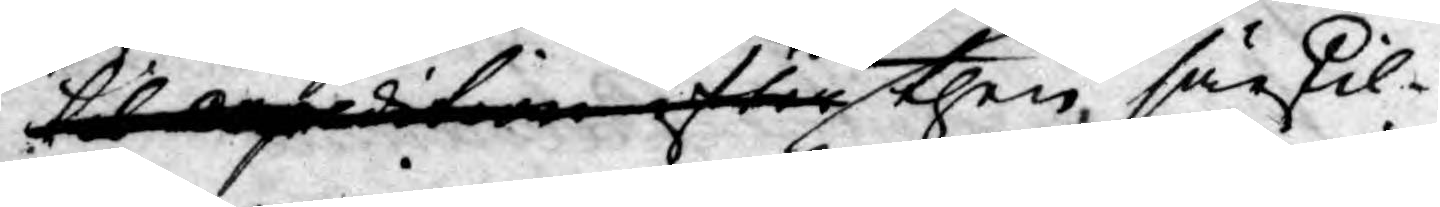till omgditiner  efter then särskil¬
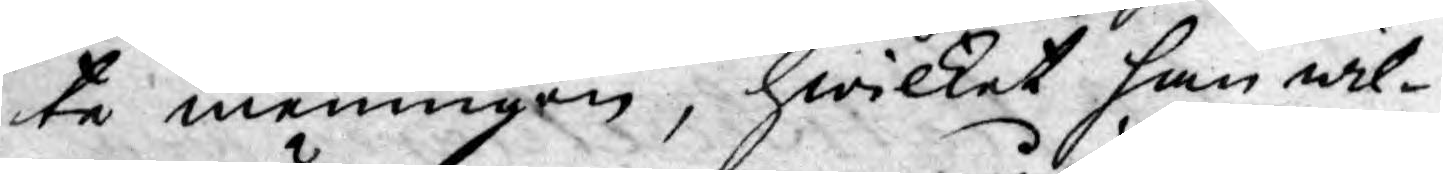te meningen, hwilket han wil¬
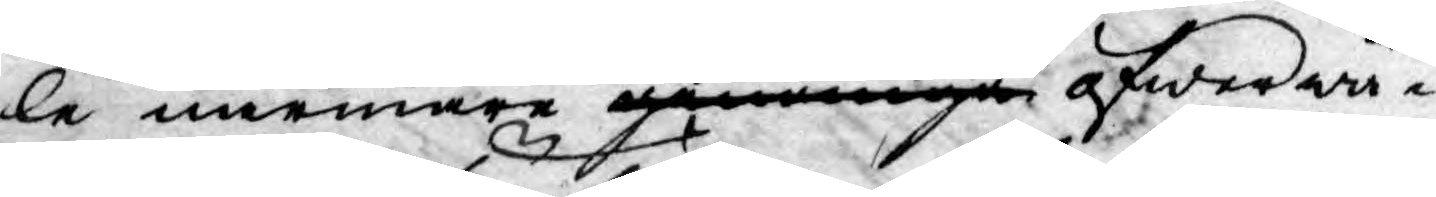le närmare genomgå öfwerwä¬
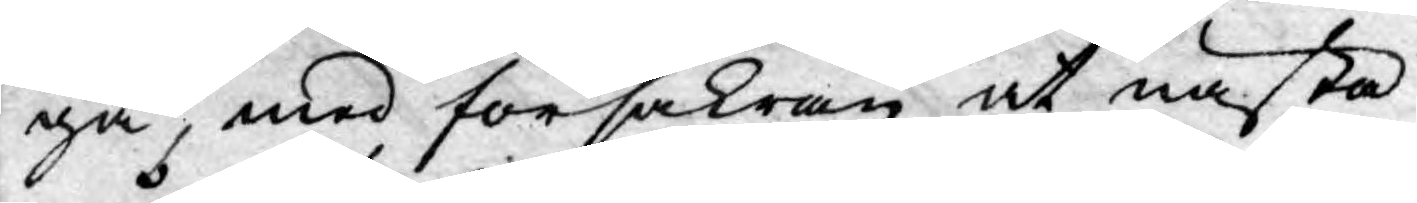ga, med försäkran at nästa
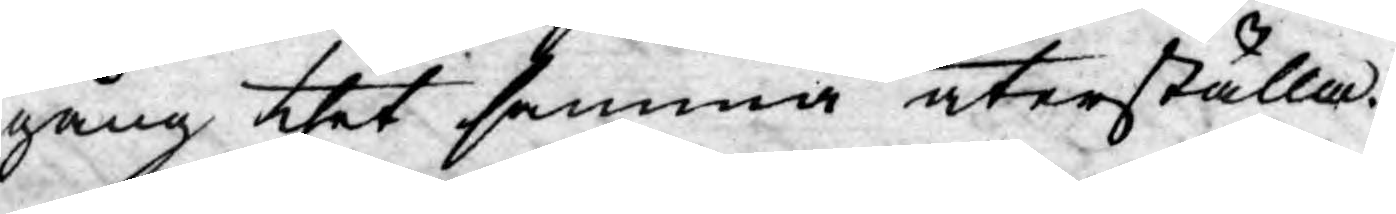gång thet samma återställa.
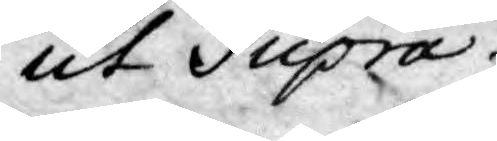Ut Supra.
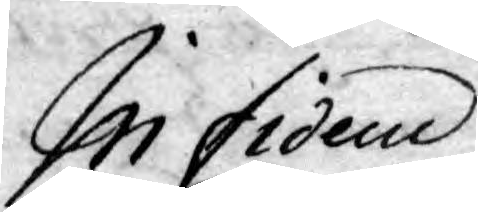In fidem
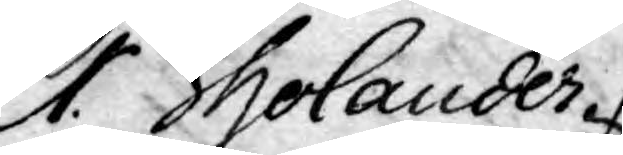Er. Tholander
